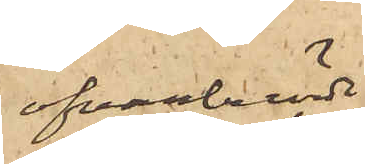ofvanberörde
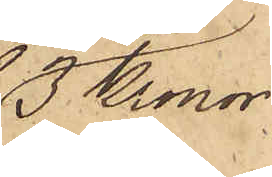3 Kronor
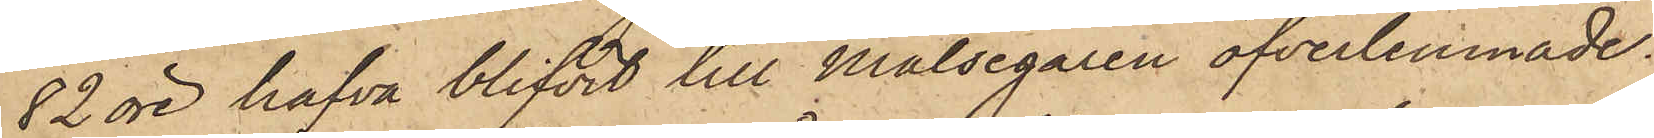82 öre hafva blifvit till Målsegaren öfverlemnade.
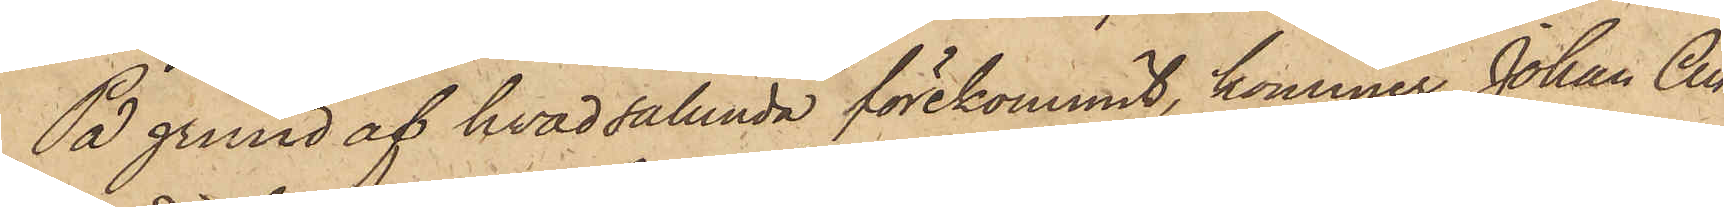På grund af hvad sålunda förekommit, kommer Johan An¬
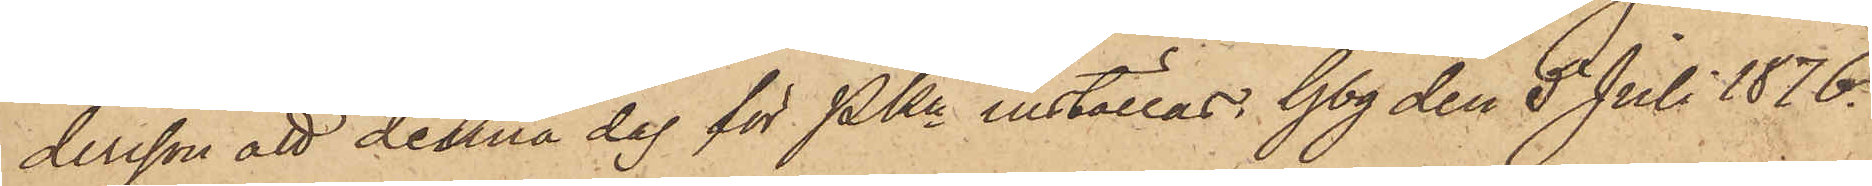dersson att denna dag för PKn inställas. Gbg den 5 Juli 1876.
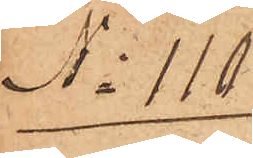No 110
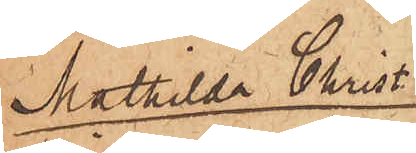Mathilda Christ.
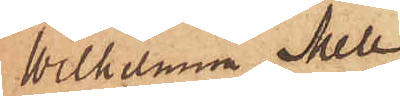Wilhelmina Mell¬
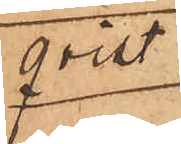qvist
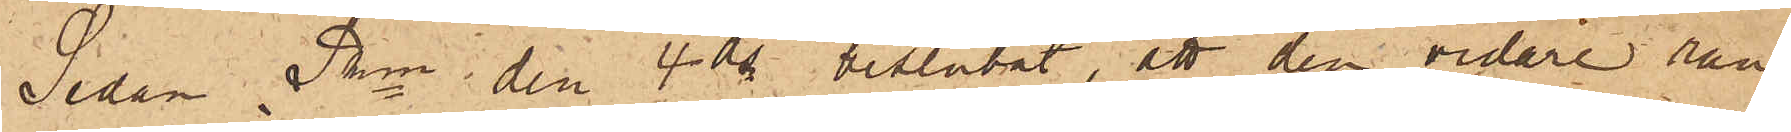Sedan Pkn den 4 ds beslutat, att den vidare ran¬
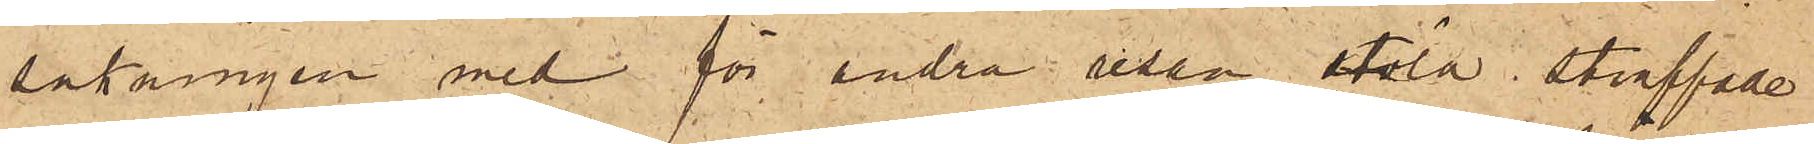sakningen med för andra resan stöld straffade
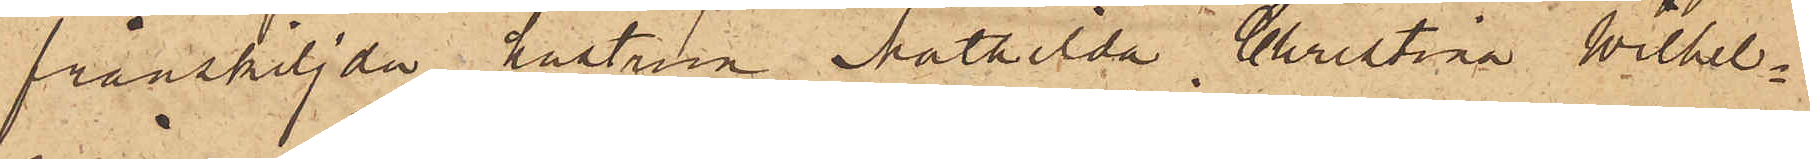frånskiljda hustrun Mathilda Christina Wilhel¬
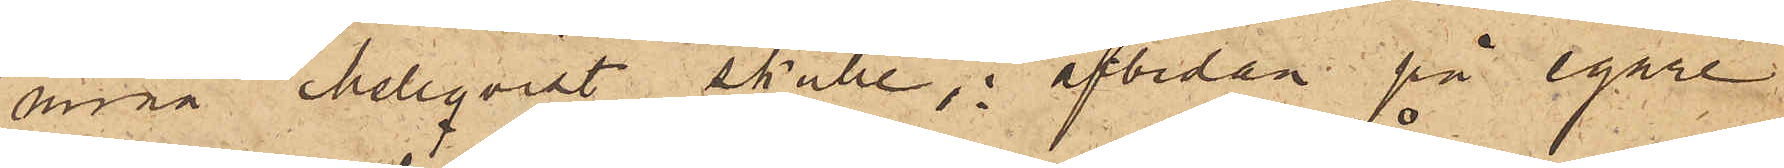mina Mellqvist skulle, i afbidan på egare
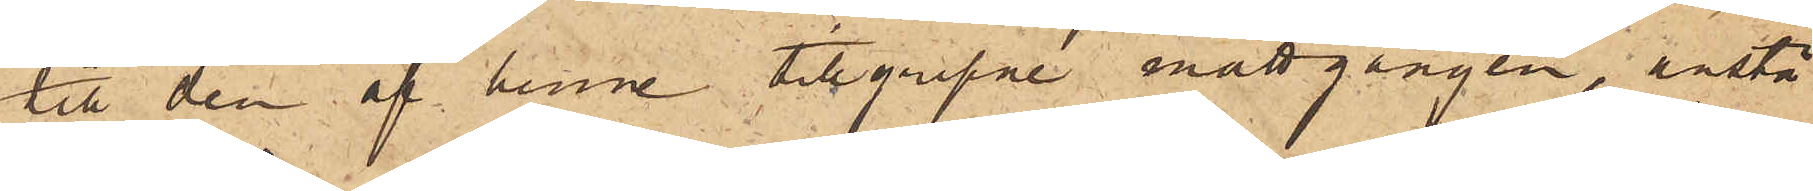till den af henne tillgripne mattgången, anstå
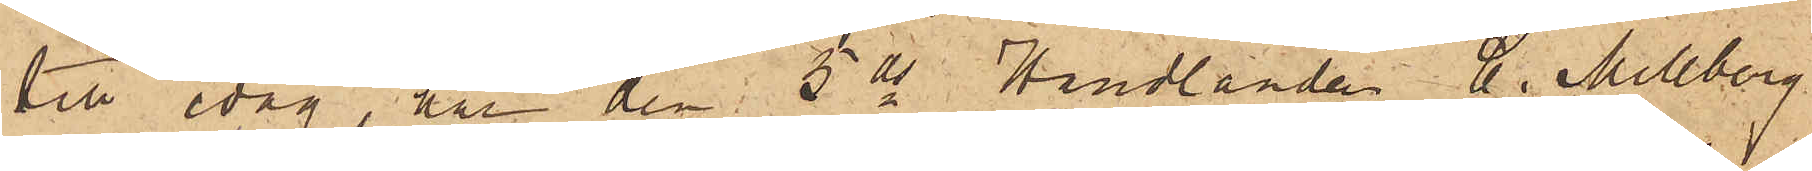till idag, har den 5 ds Handlanden C. Mellberg
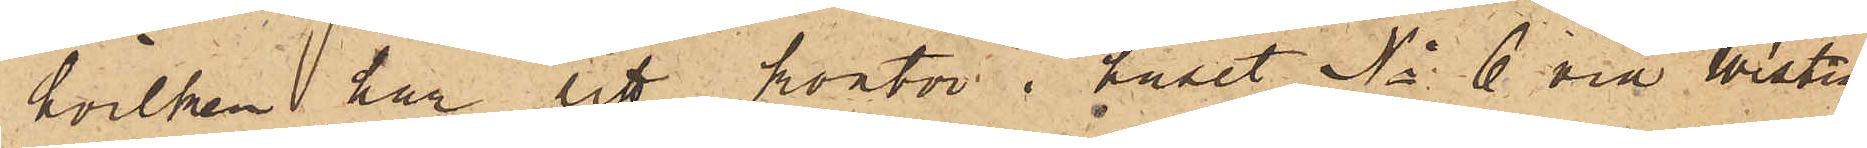hvilken har sitt kontor i huset No 6 vid Westra
